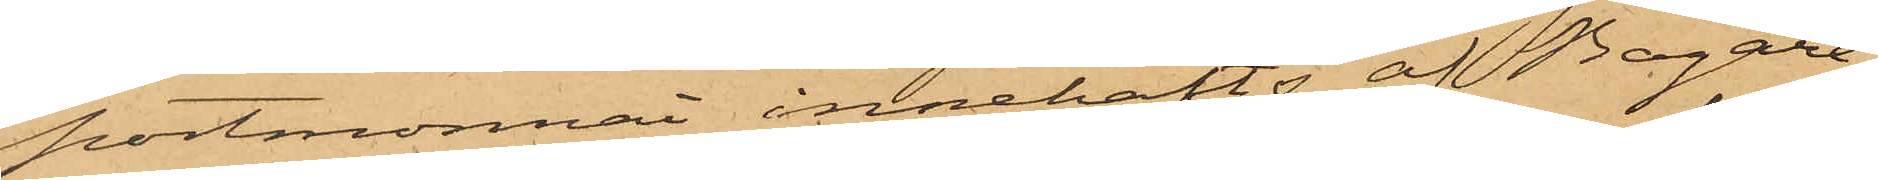portmonnai innehafts af Bagare¬
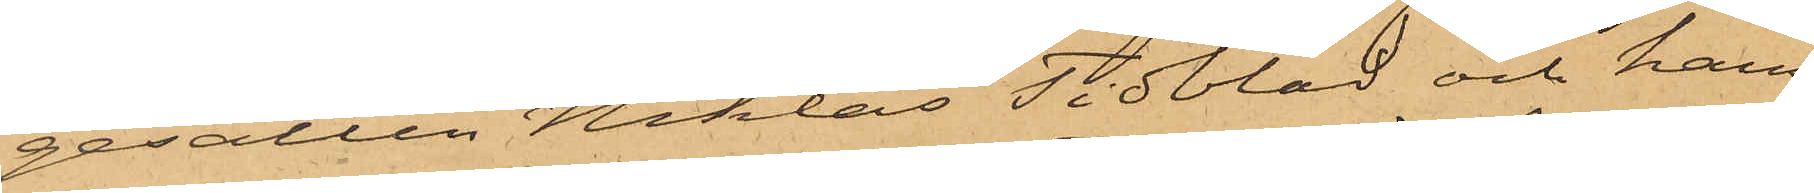gesällen Niklas Tidblad och hans
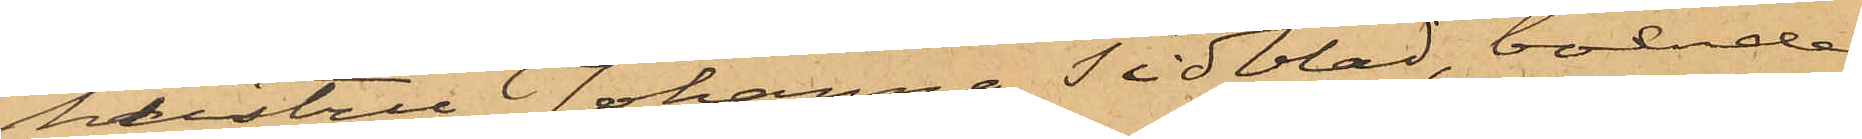hustru Johanna Tidblad, boende
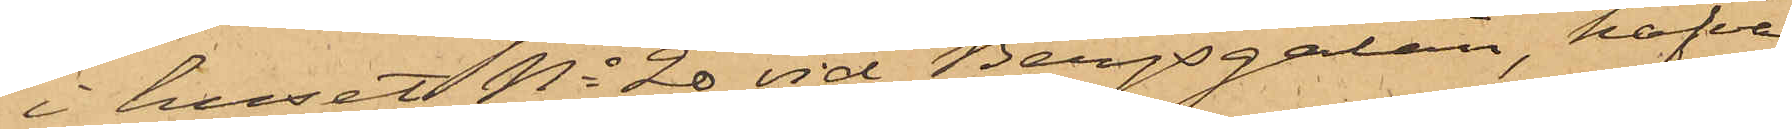i huset No 20 vid Bergsgatan, hafva
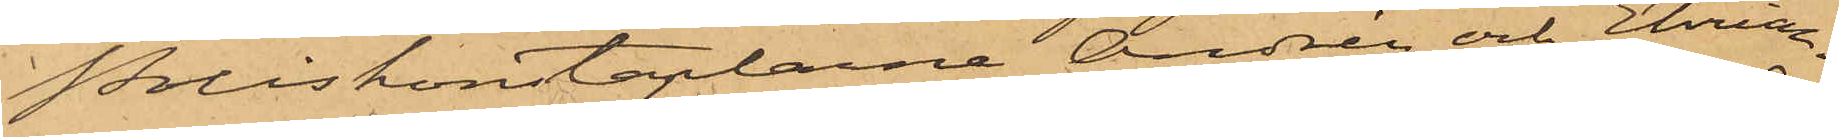Poliskonstaplarne Andrén och Ehrian¬
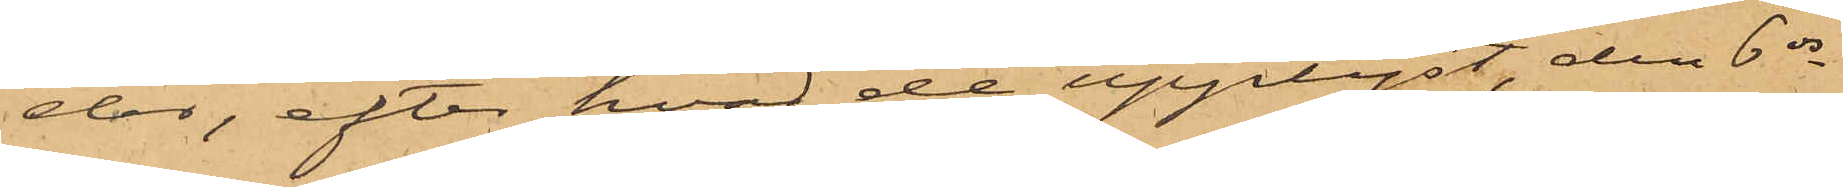der, efter hvad de upplyst, den 6 ds
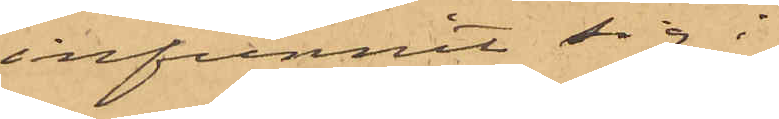infunnit sig i
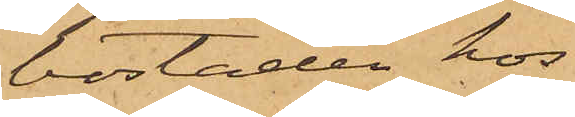bostaden hos
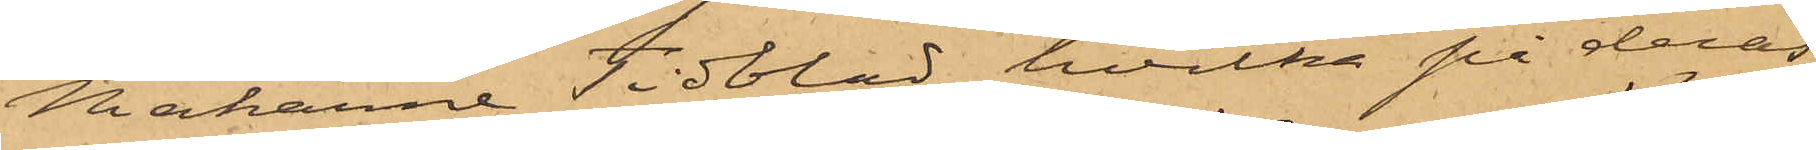Makarne Tidblad, hvilka på deras
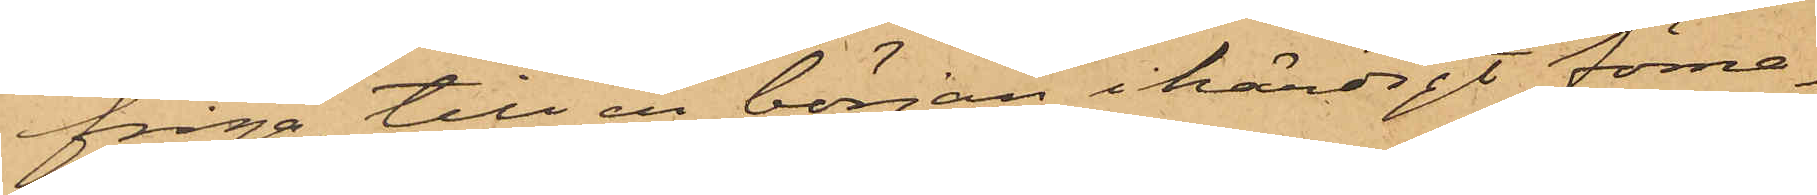fråga, till en början ihärdigt förne¬
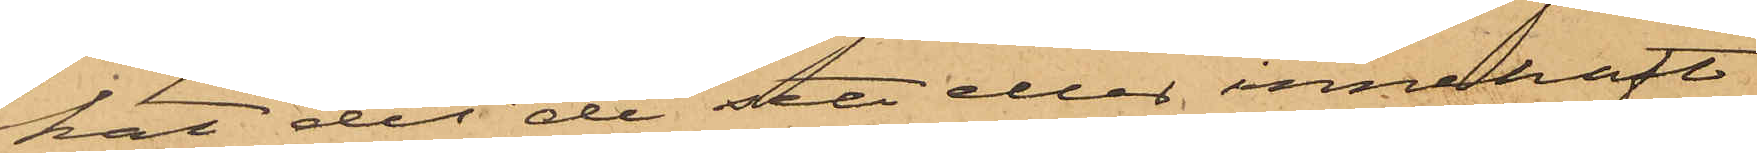kat det de att eller innehaft
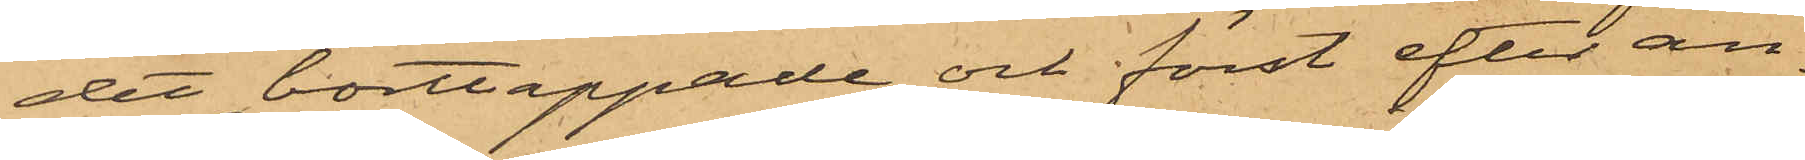det borttappade och först efter an¬
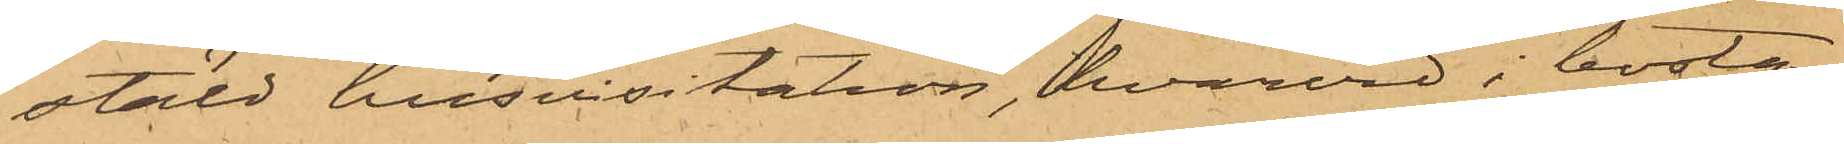stäld husvisitation, hvarvid i bosta¬
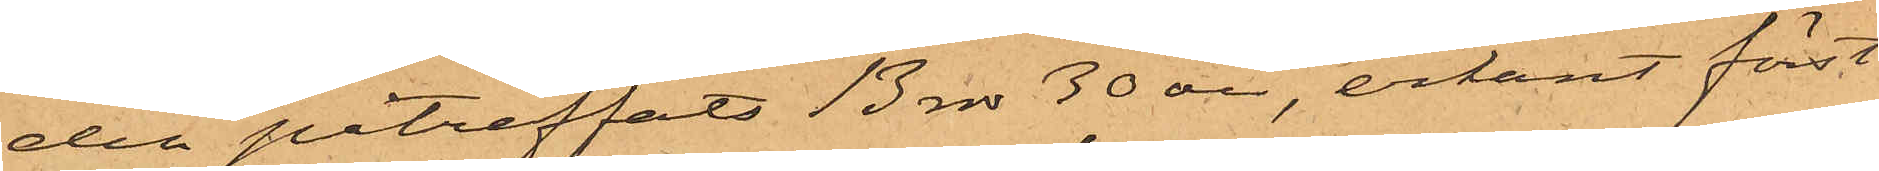den påträffats 13 rdr 50 öre, erkänt först
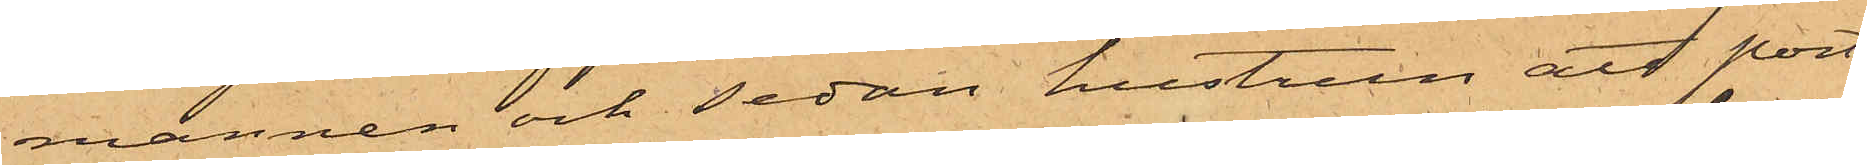mannen och sedan hustrun att port¬
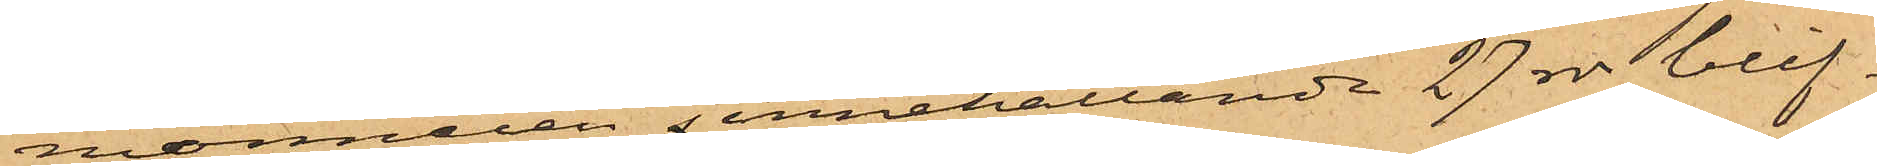monnaien j innehållande 27 rdr blif¬
